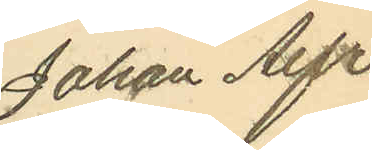Johan Alfr.
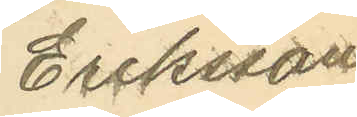Eriksson
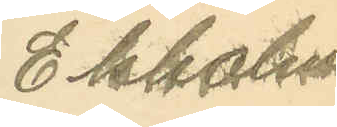Ekholm
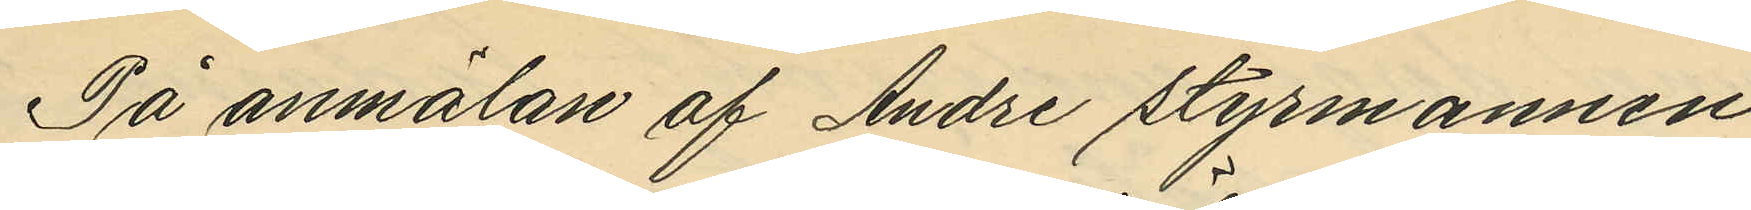På anmälan af Andre styrmannen
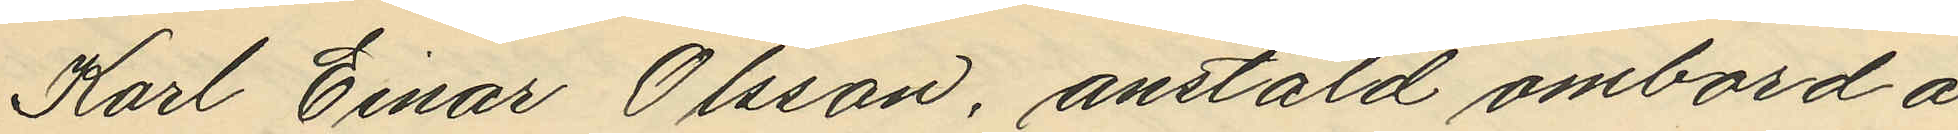Karl Einar Olsson, anstäld ombord å
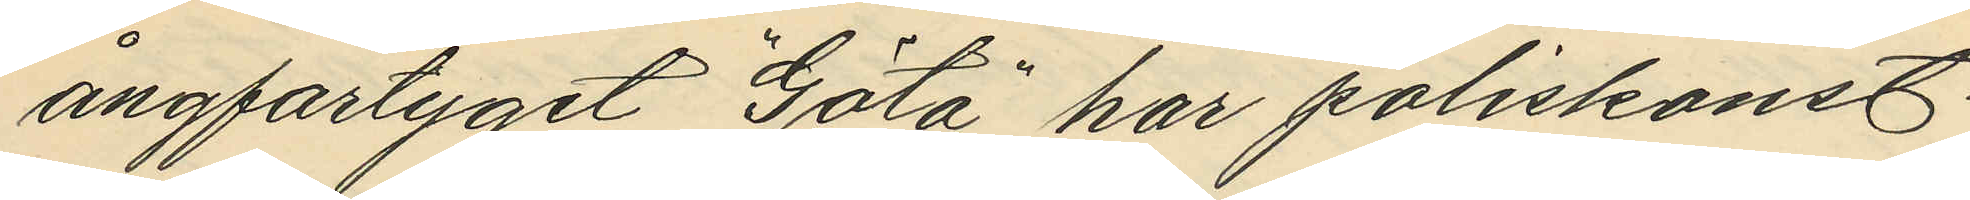ångfartyget "Göta" har poliskonst.
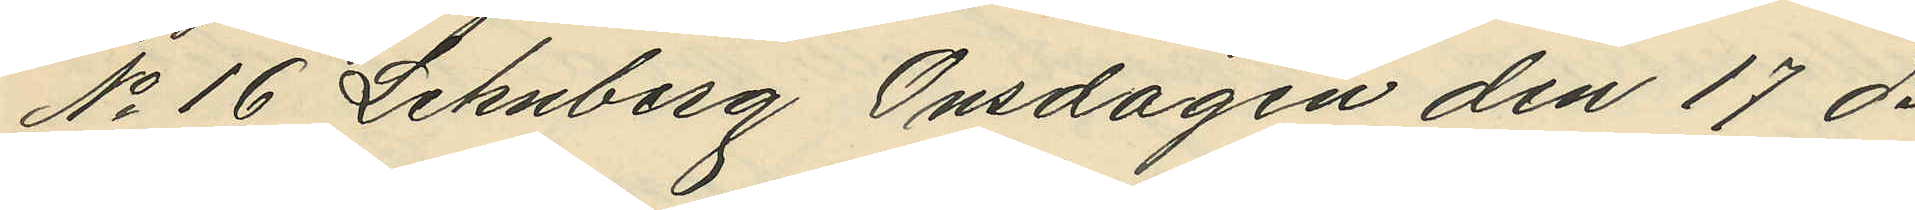No 16 Lehnberg Onsdagen den 17 ds
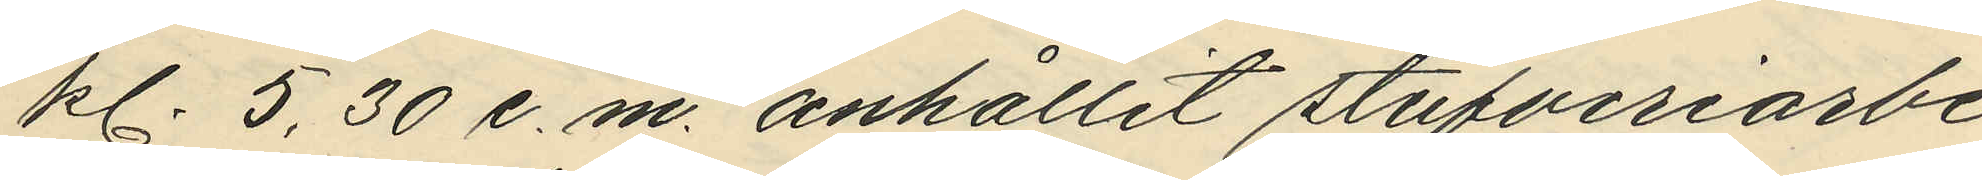kl. 5,30 e. m. anhållit stufveriarbe¬
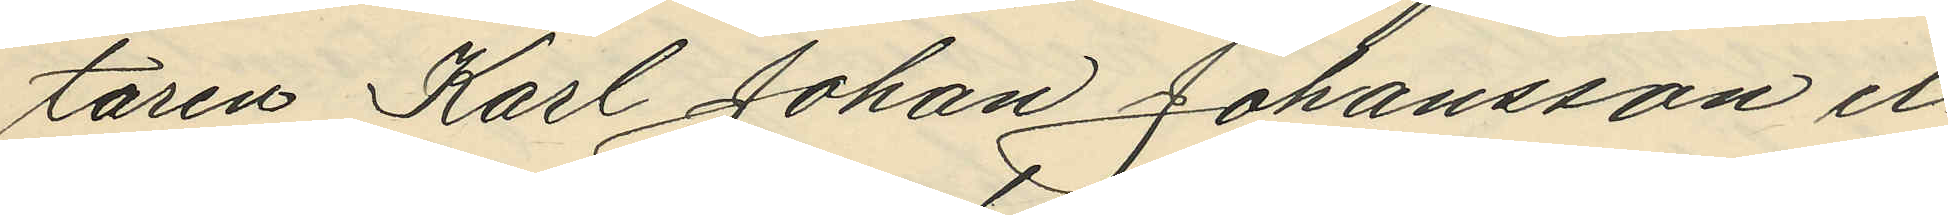taren Karl Johan Johansson el¬
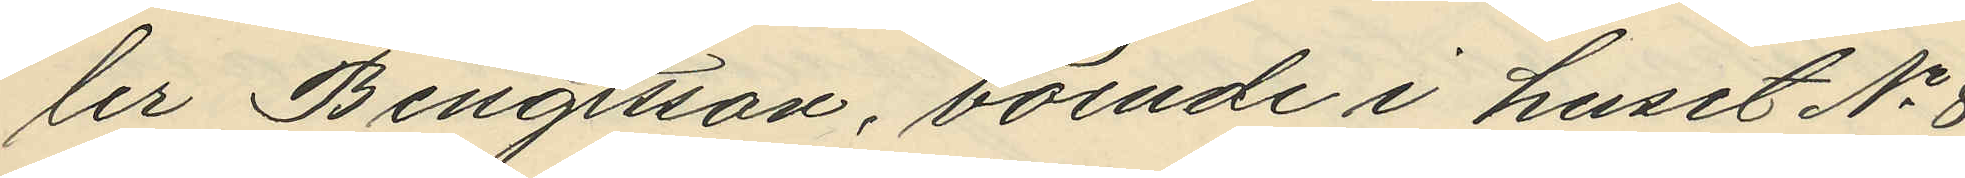ler Bengtsson, boende i huset No 8
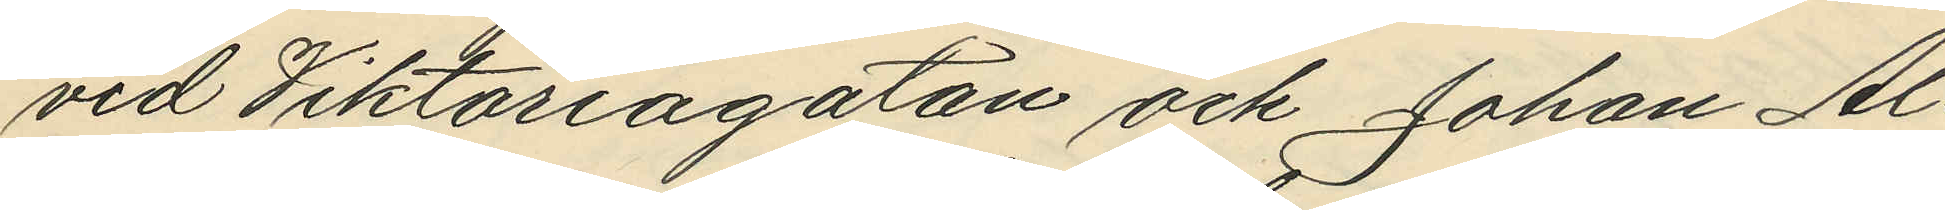vid Viktoriagatan och Johan Al¬
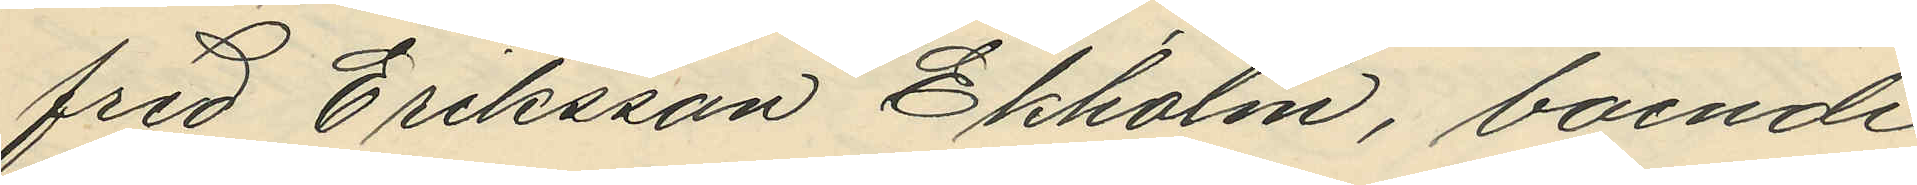fred Eriksson Ekholm, boende
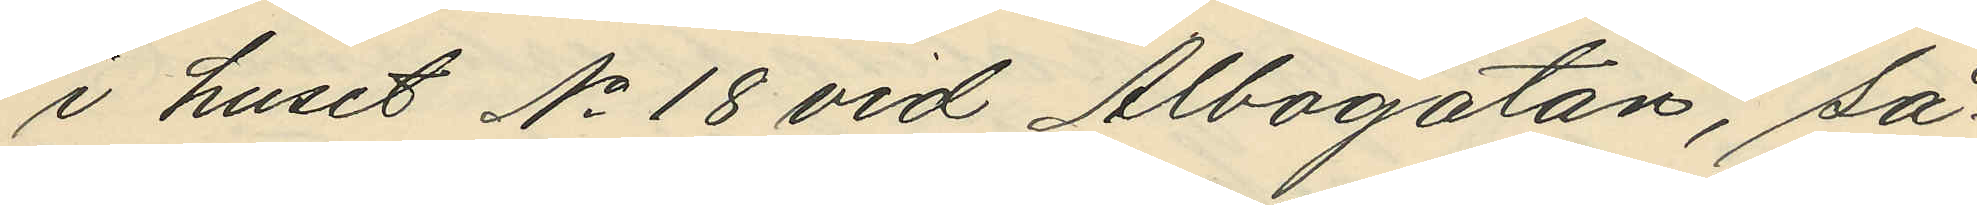i huset No 18 vid Albogatan, så¬
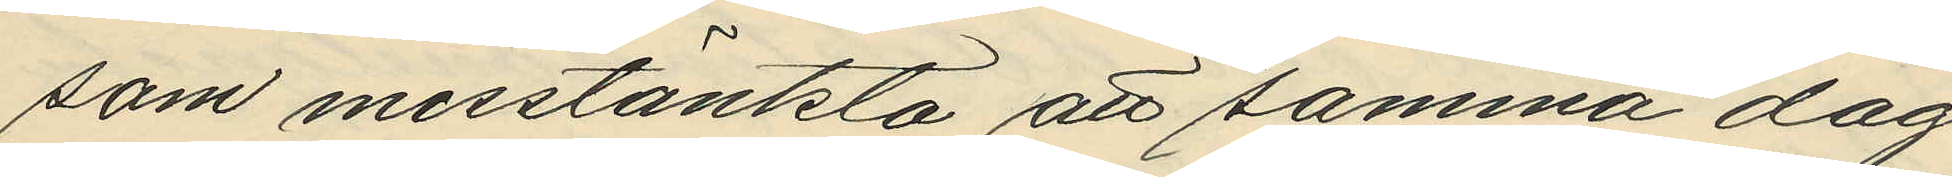som misstänkta att samma dag
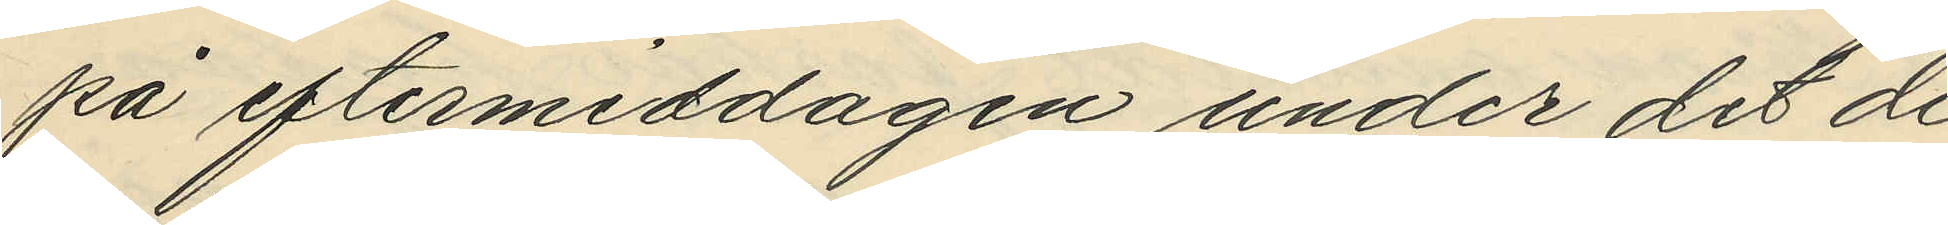på eftermiddagen under det de
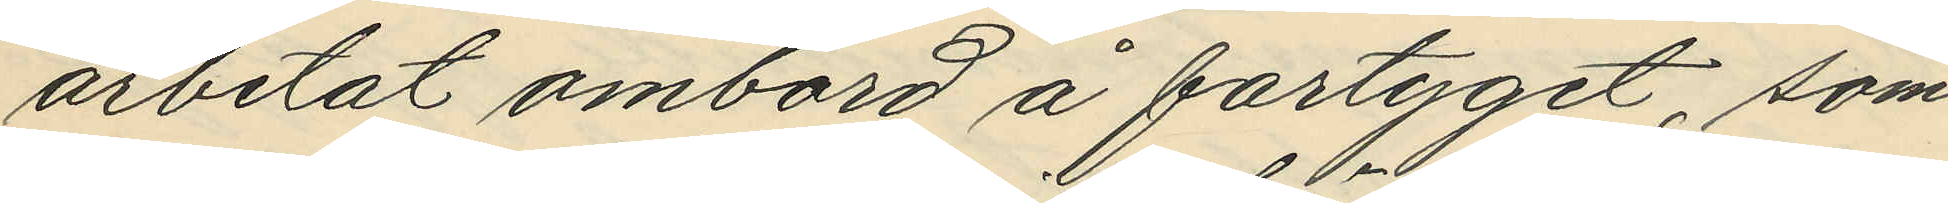arbetat ombord å fartyget, som
